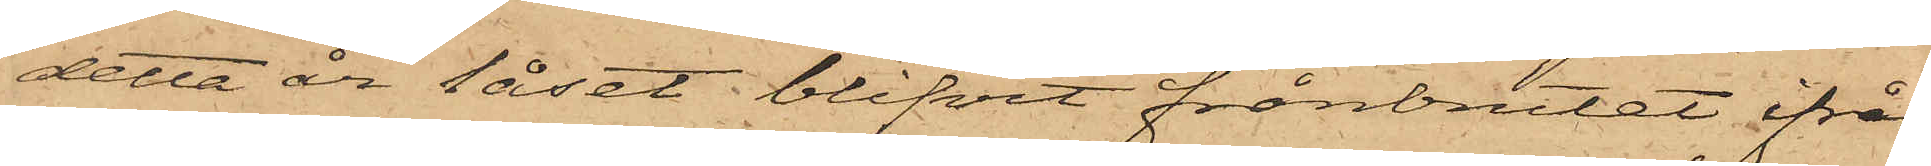detta år låset blifvit frånbrutet ifrån
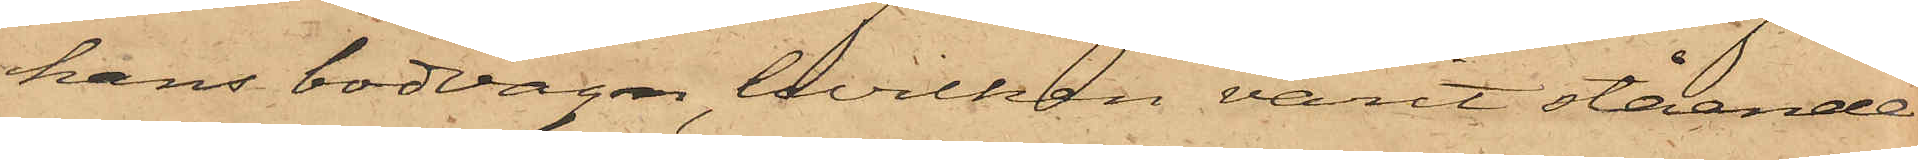hans bodvagn, hvilken varit stående
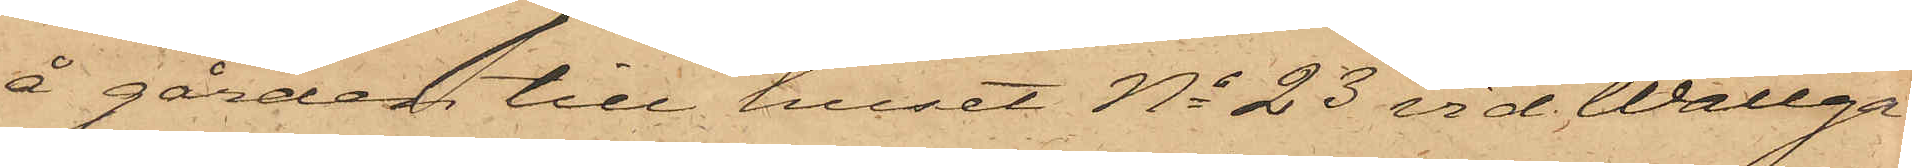å gården till huset No 23 vid Wallga¬
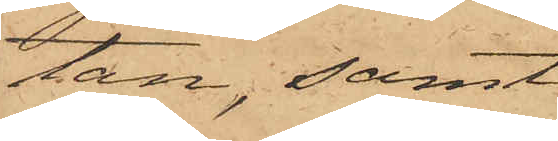tan; samt
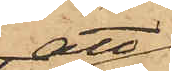att
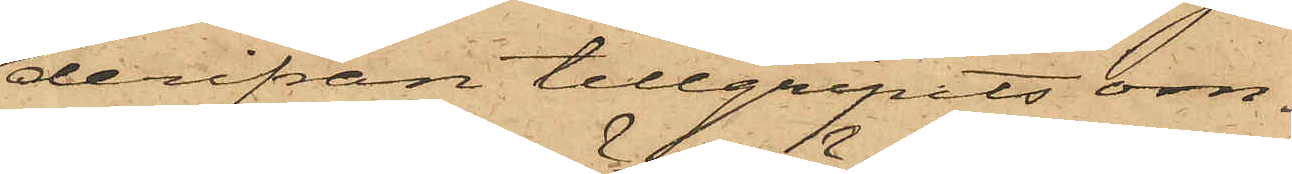derifrån tillgripits om¬
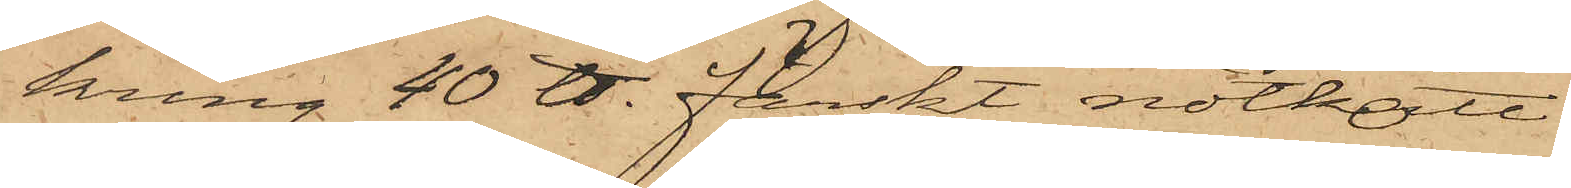kring 40 ℔ färskt nötkött.
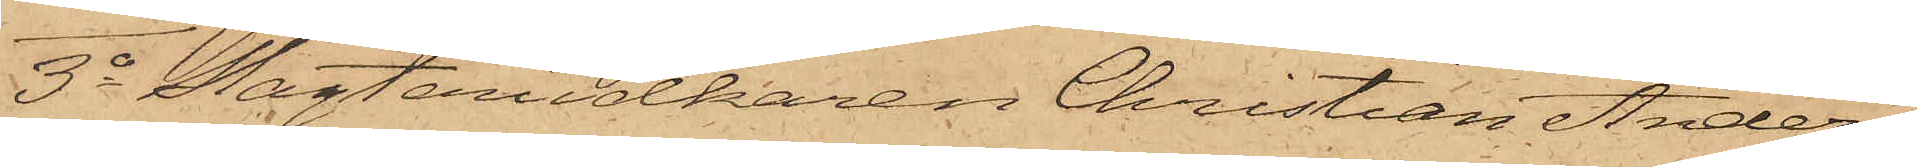3o Slagteriidkaren Christian Anders¬
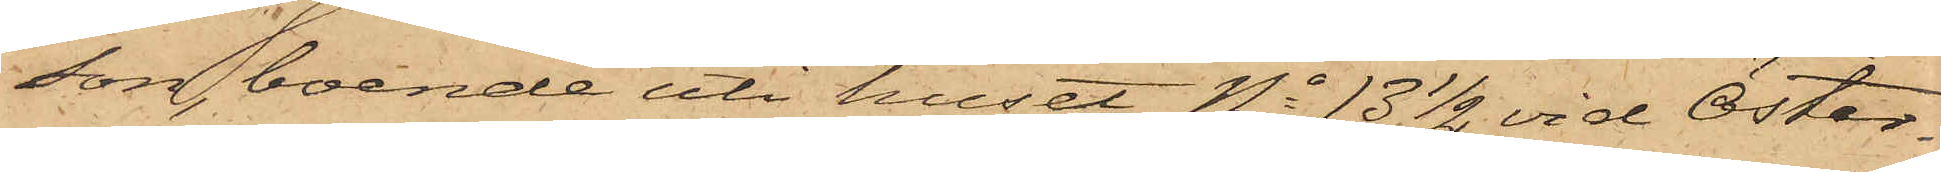son, boende uti huset No 13 1/2 vid Öster¬
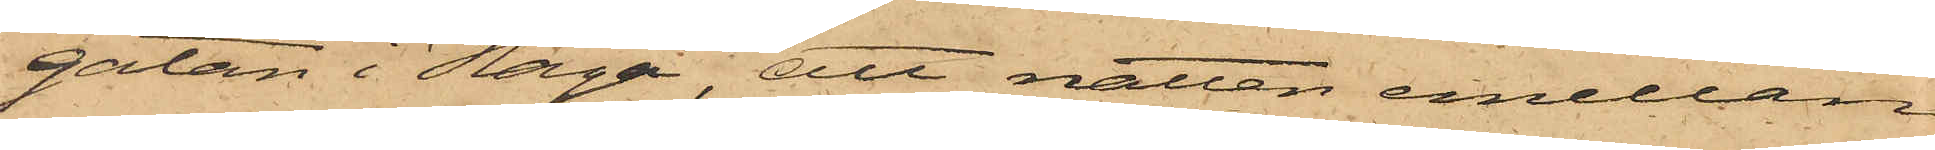gatan i Haga, att natten emellan
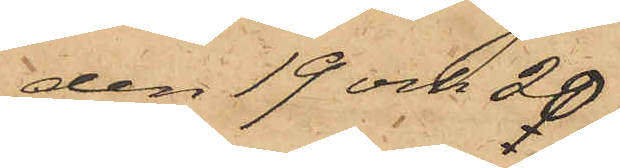den 19 och 20
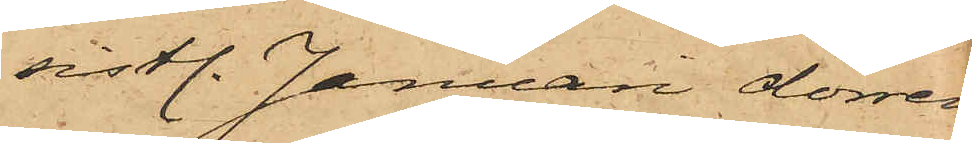sistl. Januari dörren
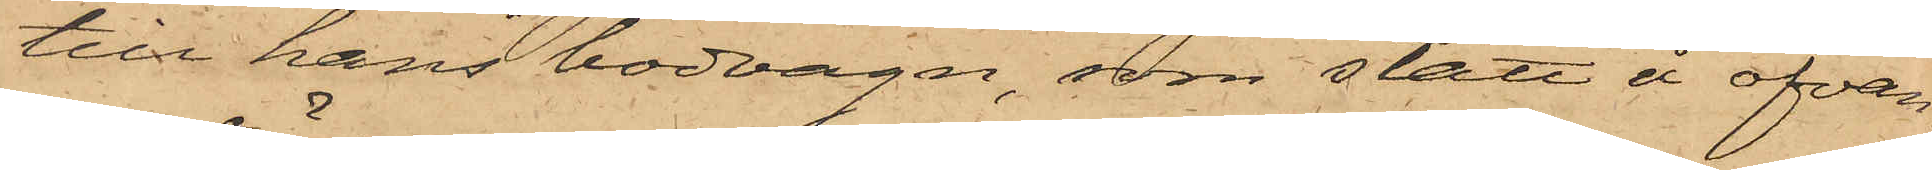till hans bodvagn, som stått å ofvan¬
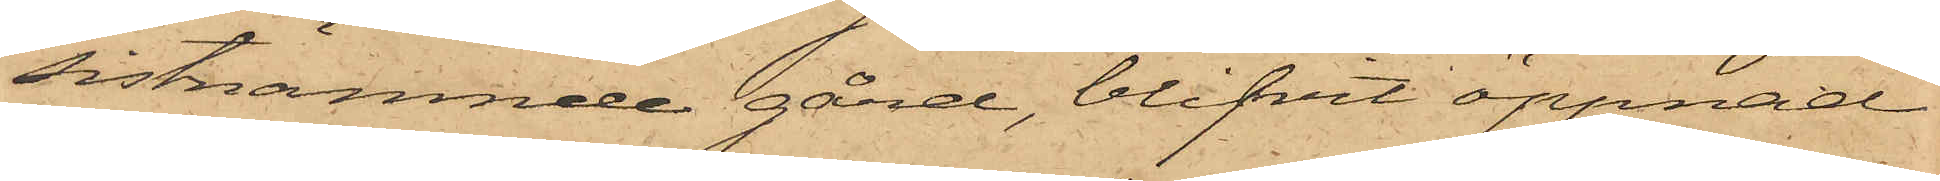sistnämnde gård, blifvit öppnad
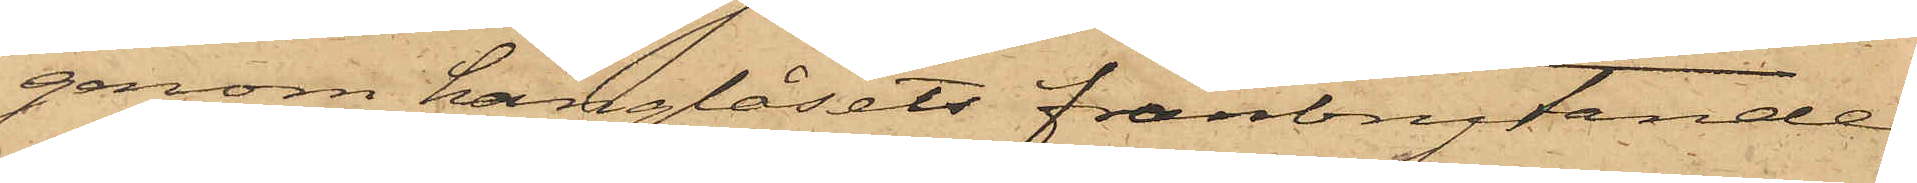genom hänglåsets frånbrytande
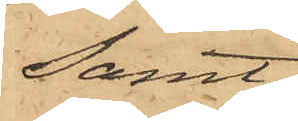samt
